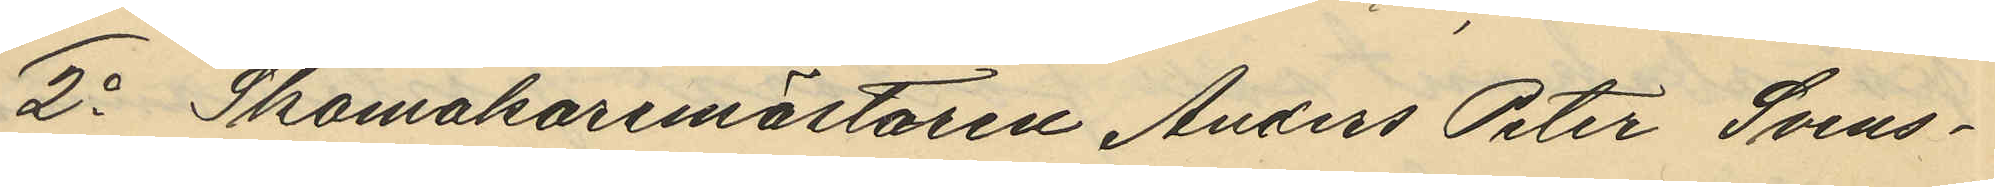2o Skomakaremästaren Anders Peter Svens¬
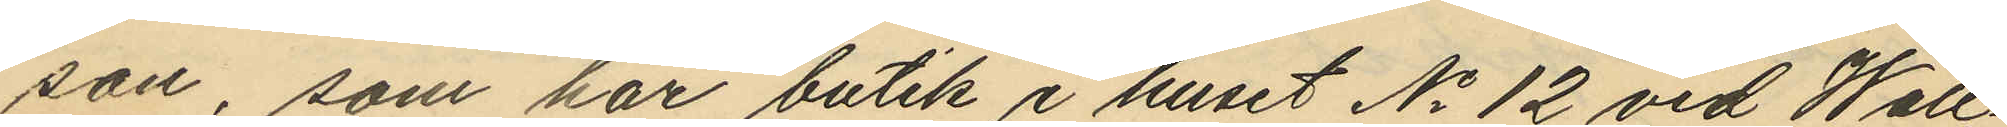son, som har butik i huset No 12 vid Wall¬
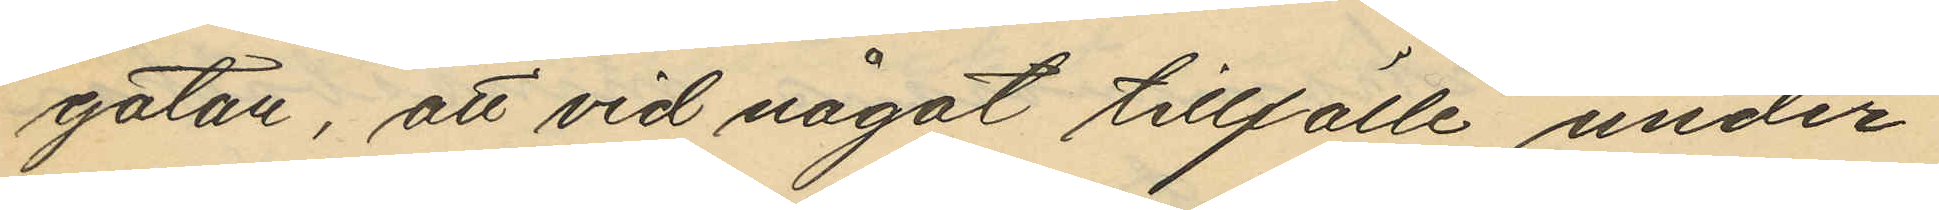gatan, att vid något tillfälle under
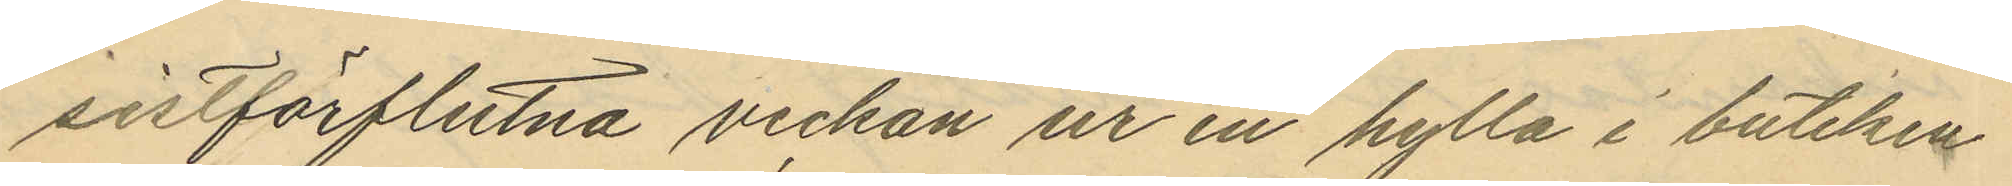sistförflutna veckan ur en hylla i butiken
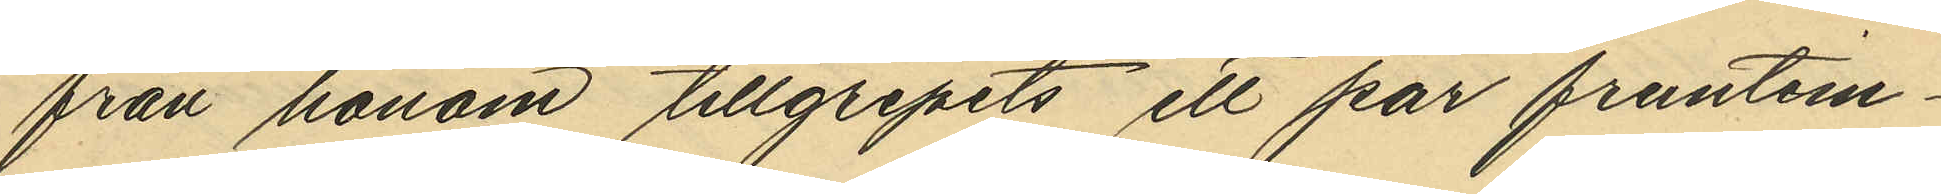från honom tillgripits ett par fruntim¬
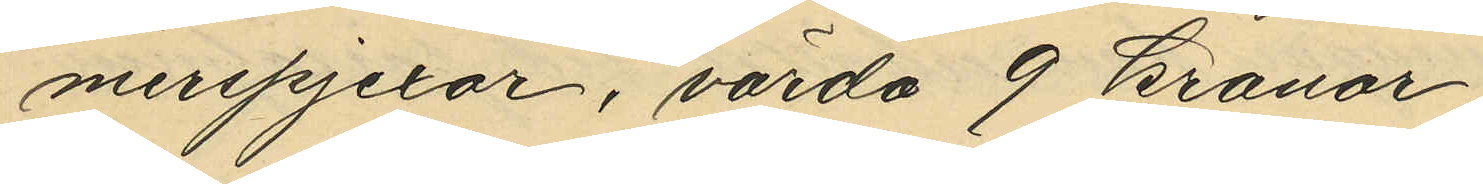merspjexor, värda 9 kronor.
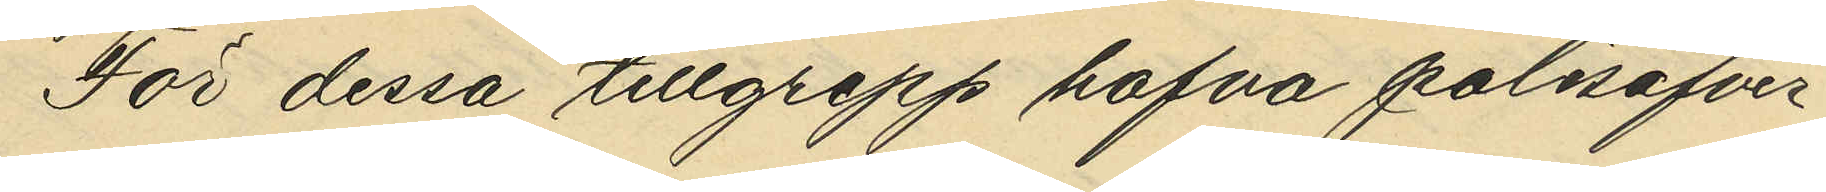För dessa tillgrepp hafva polisöfver¬
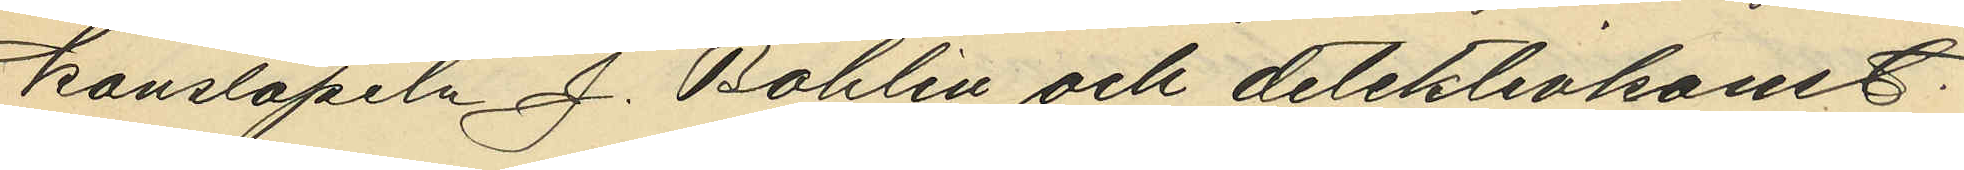konstapeln J. Bohlin och detektivkonst.
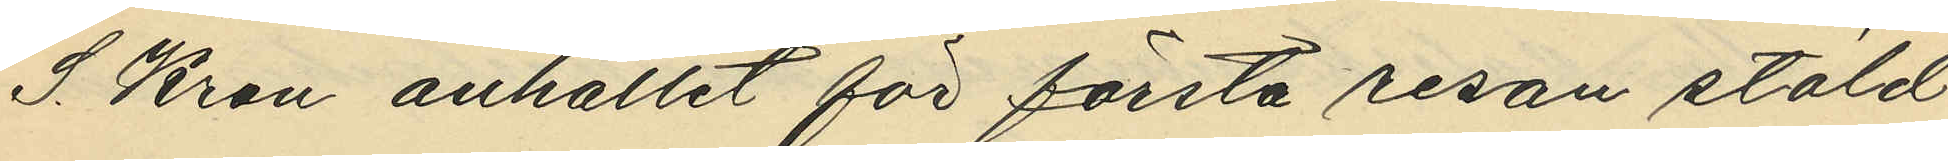S. Kron anhållit för första resan stöld
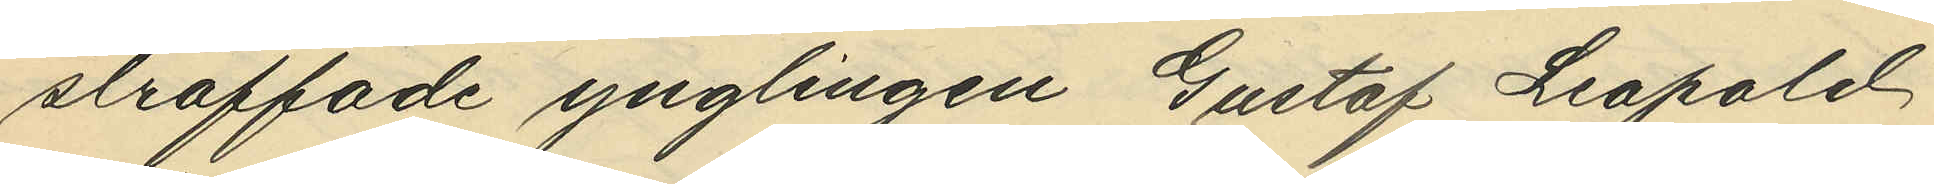straffade ynglingen Gustaf Leopold
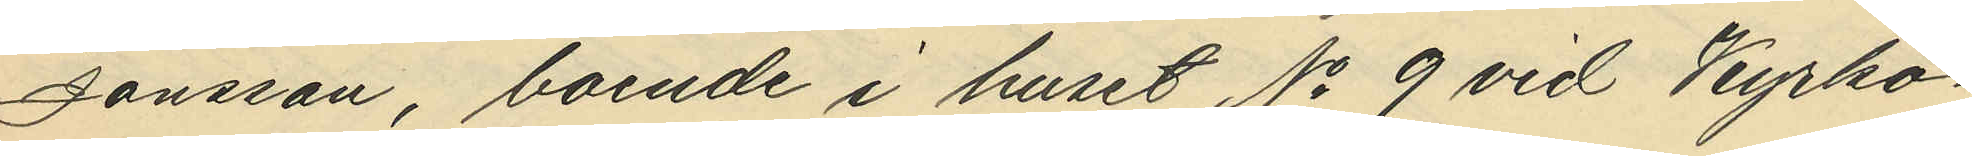Jönsson, boende i huset No 9 vid Kyrko¬
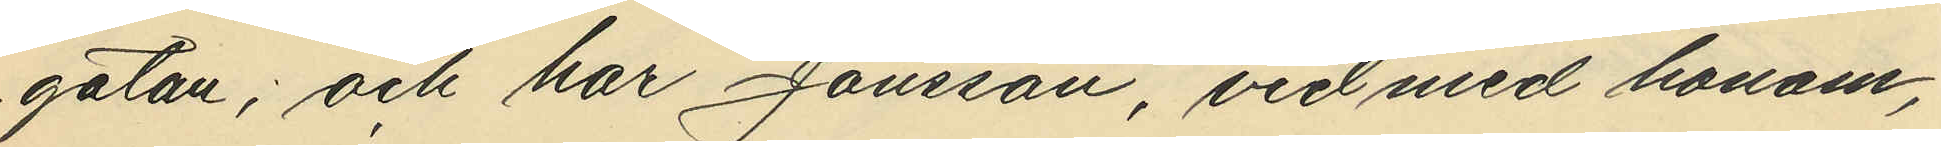gatan; och har Jönsson, vid med honom,
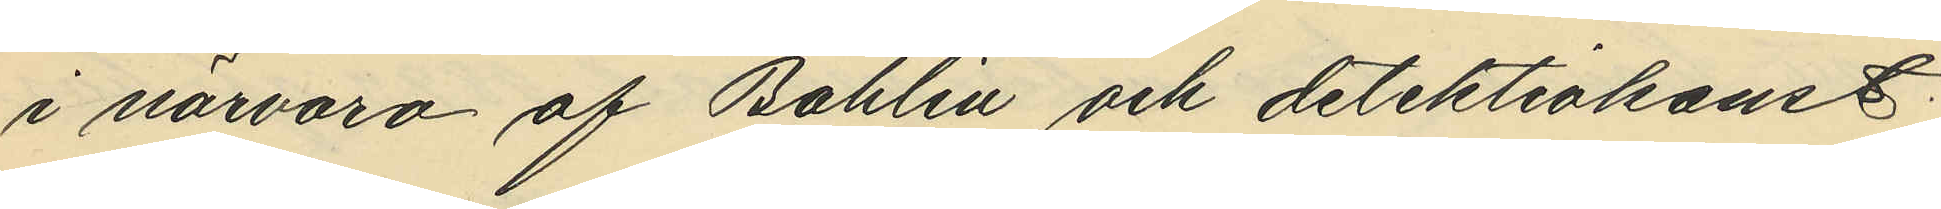i närvaro af Bohlin och detektivkonst.
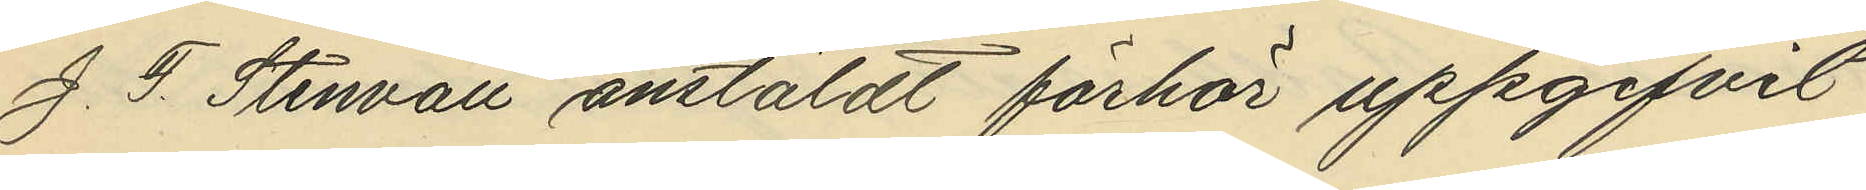J. F. Stenvall anstäldt förhör uppgifvit
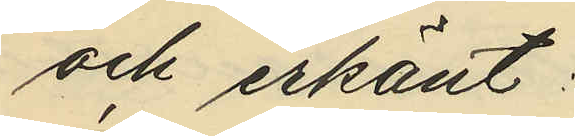och erkänt:
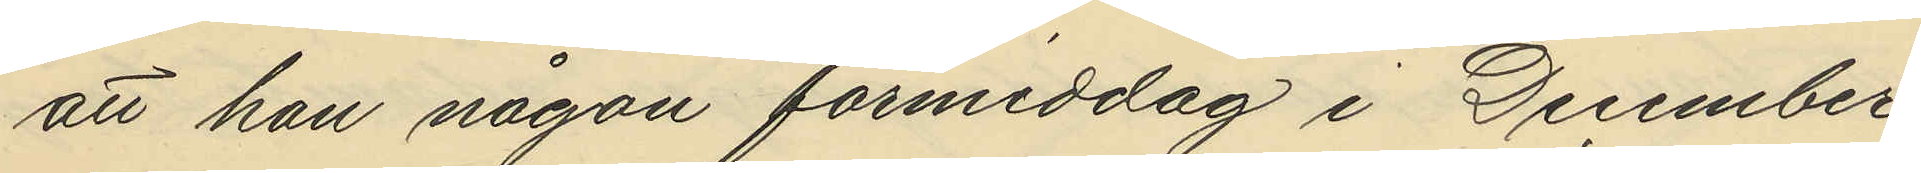att han någon förmiddag i December
